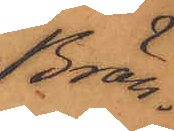Brän¬
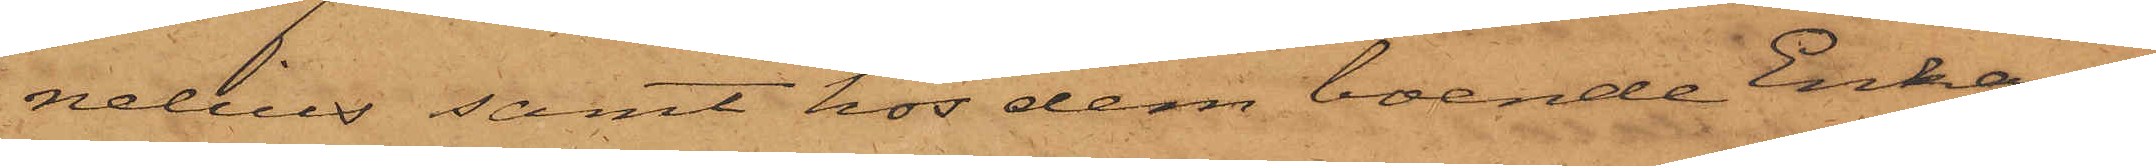nelius samt hos dem boende Enkan
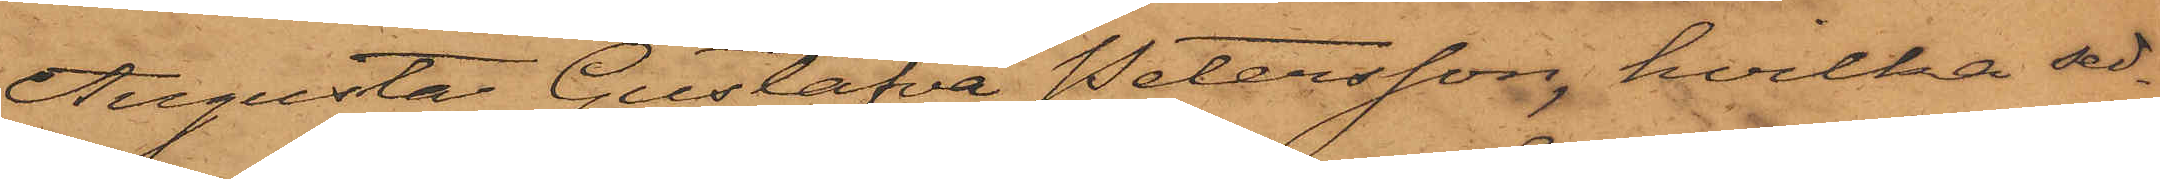Augusta Gustafva Petersson, hvilka sed¬
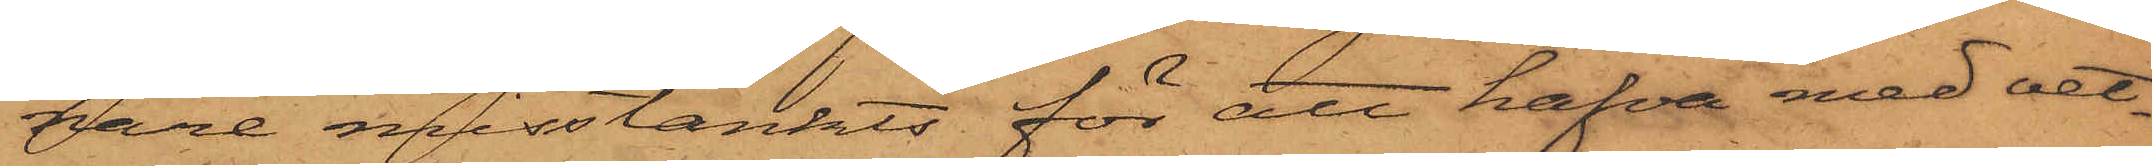nare misstänkts för att hafva med vet¬
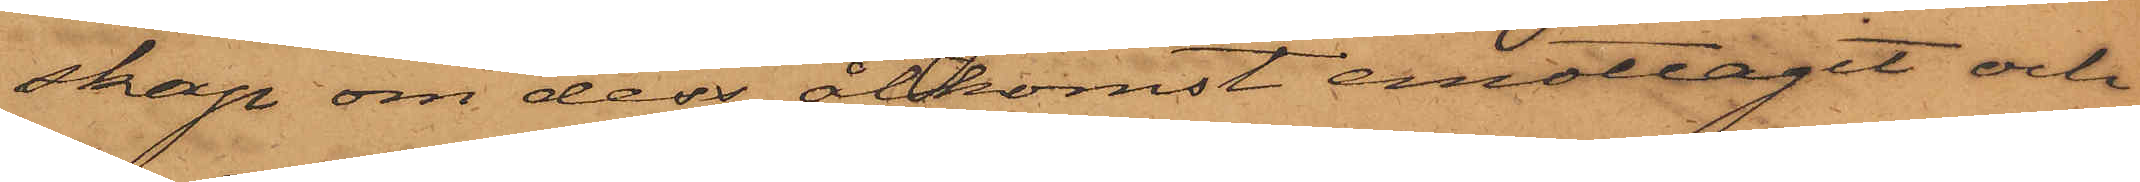skap om dess åtkomst emottagit och
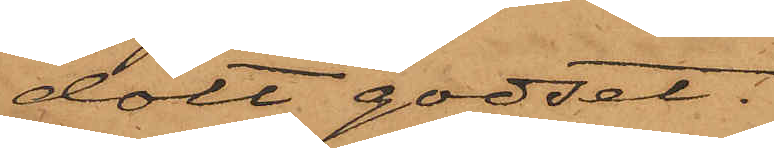dolt godset.
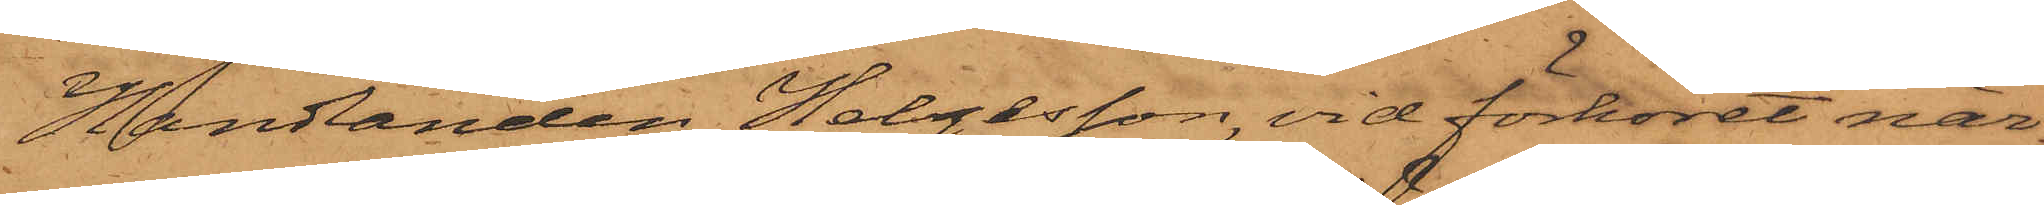Handlanden Helgesson, vid förhöret när¬
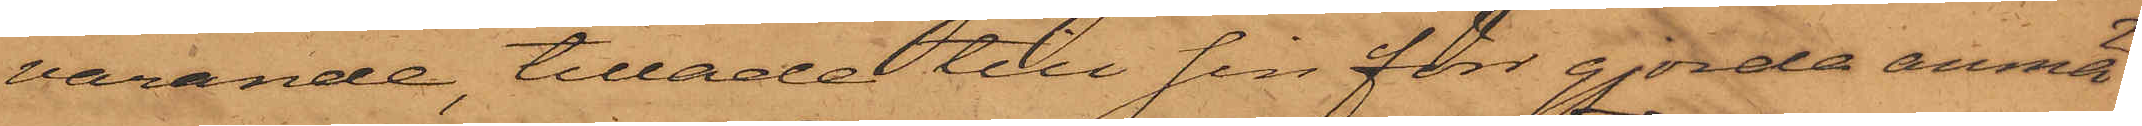varande, tillade till sin förr gjorda anmä¬
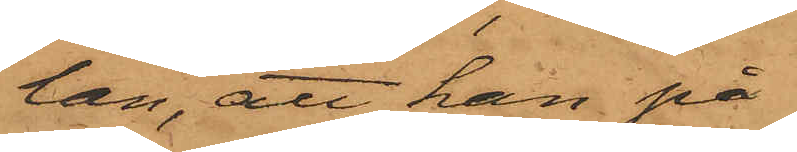lan, att han på
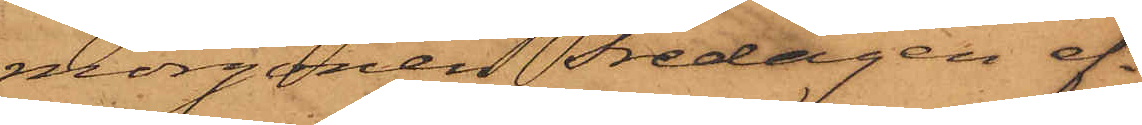morgonen Fredagen ef¬
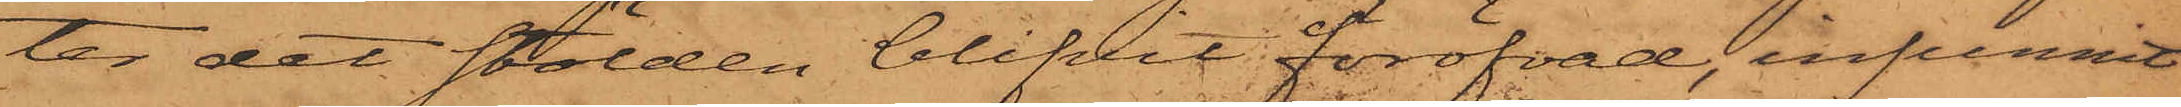ter det stölden blifvit föröfvad, infunnit
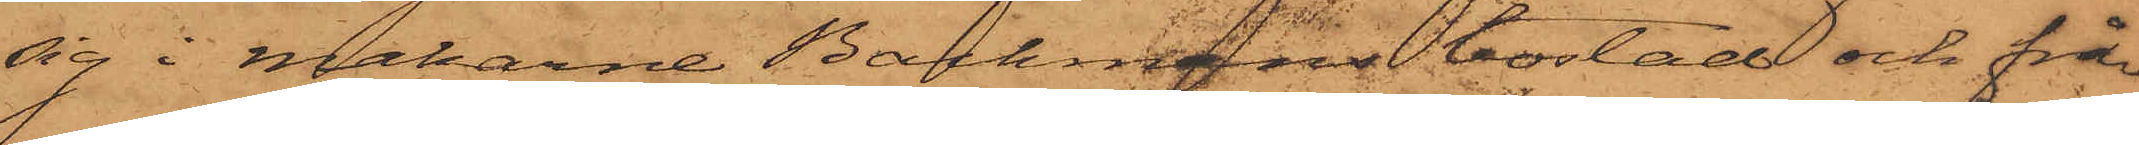sig i makarne Backmans bostad och frå¬
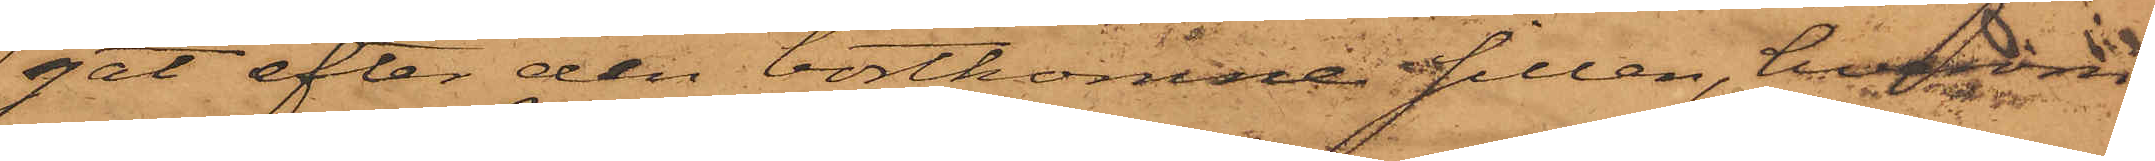get efter den bortkomne sillen, hvadan
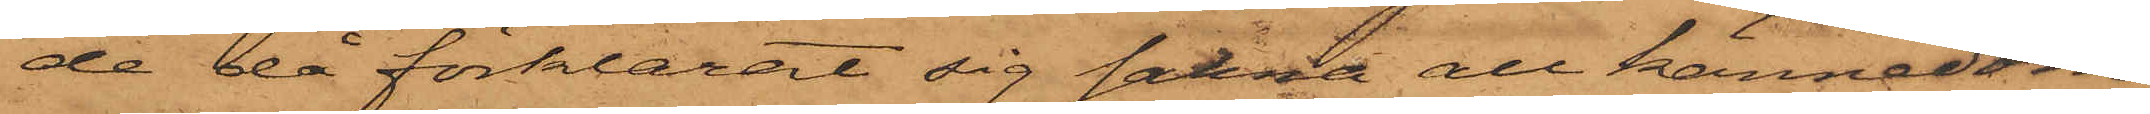de då förklarat sig sakna all kännedom,
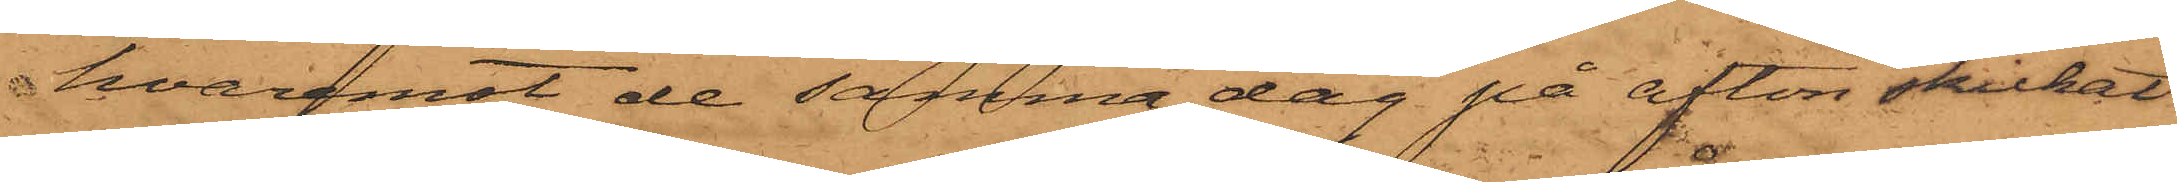hvaremot de samma dag på afton skickat
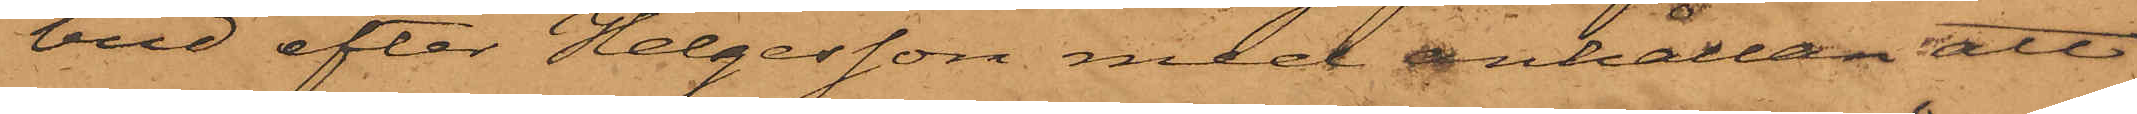bud efter Helgesson med anhållan att
